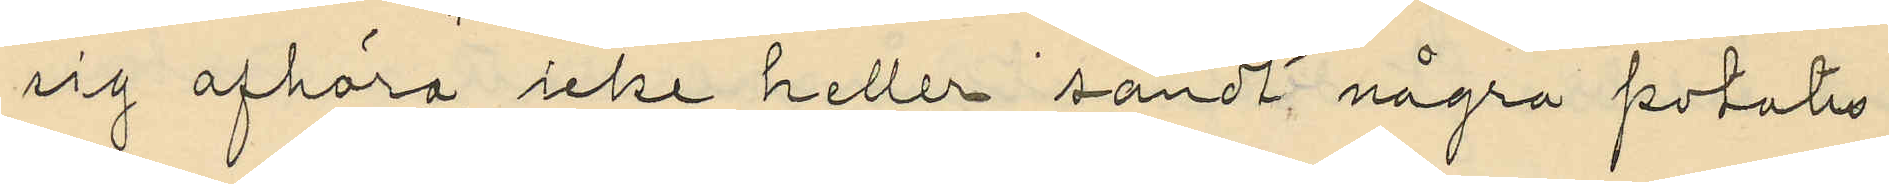sig afhöra icke heller sandt några potatis
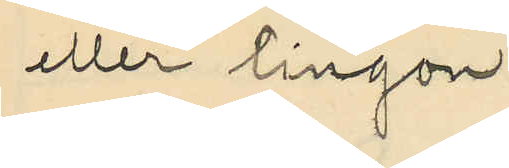eller lingon.
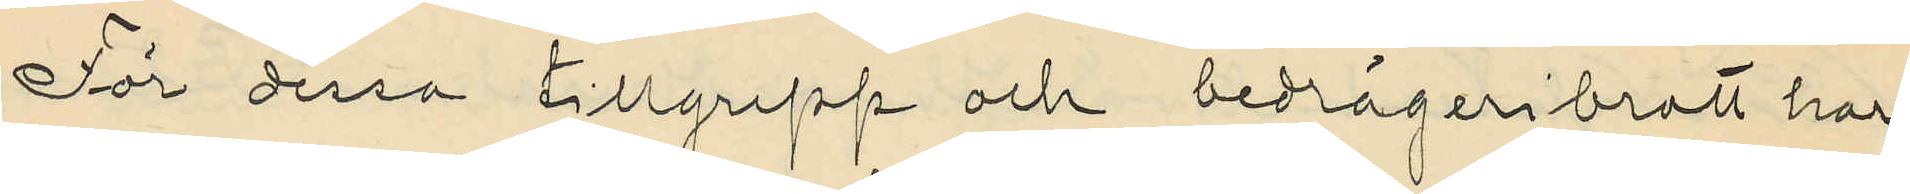För dessa tillgrepp och bedrägeribrott har
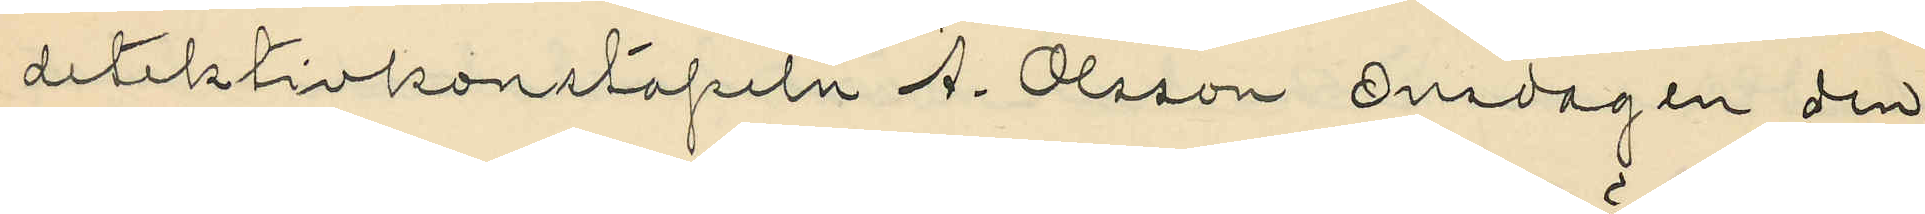detektivkonstapeln A. Olsson Onsdagen den
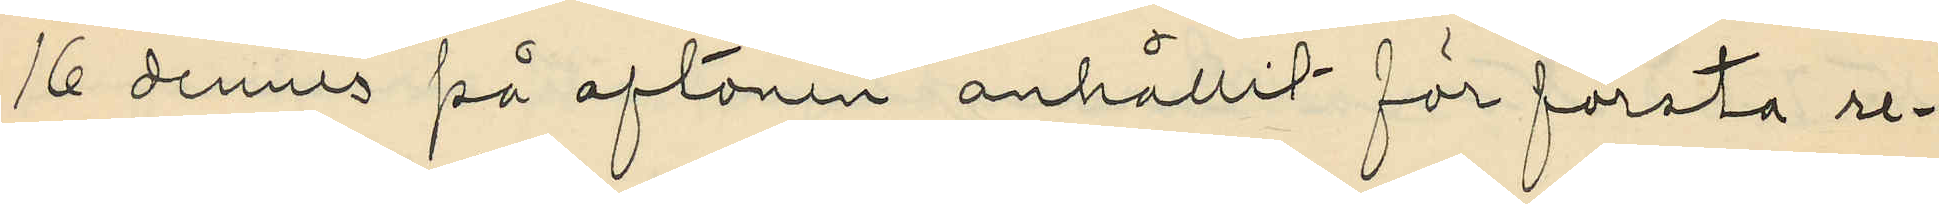16 dennes på aftonen anhållit för första re¬
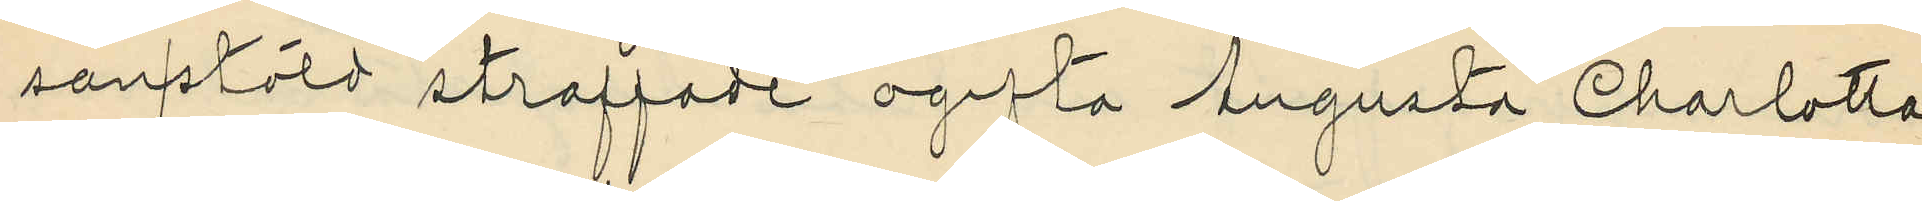san/stöld straffade ogifta Augusta Charlotta
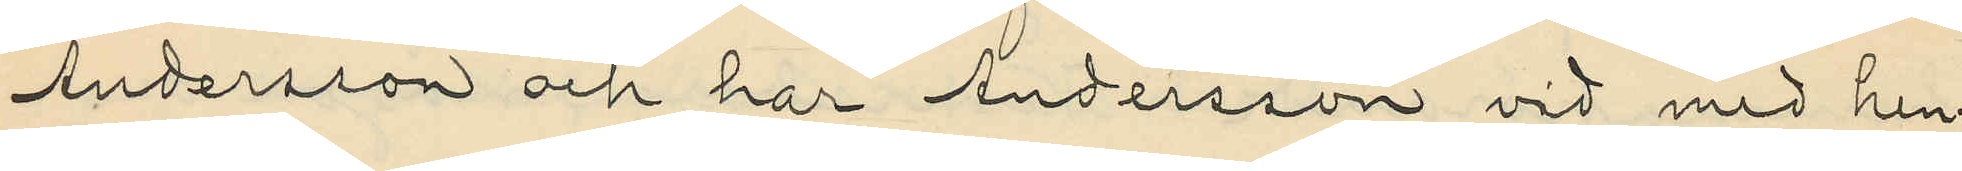Andersson och har Andersson vid med hen¬
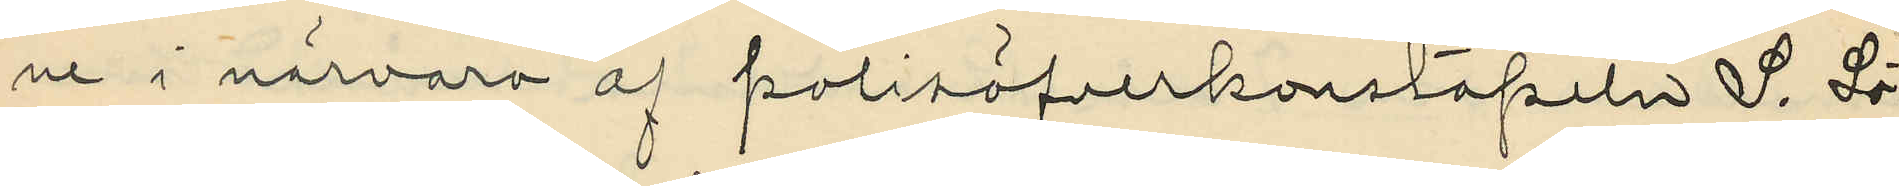ne i närvaro af polisöfverkonstapeln S. Sö¬
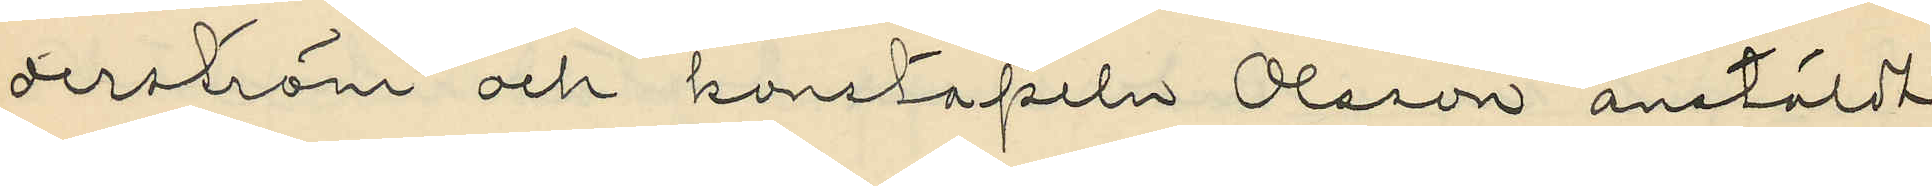derström och konstapeln Olsson anstäldt
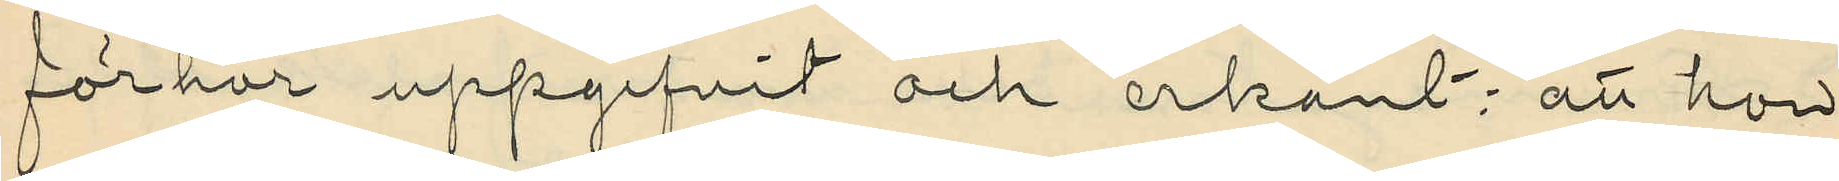förhör uppgifvit och erkänt: att hon
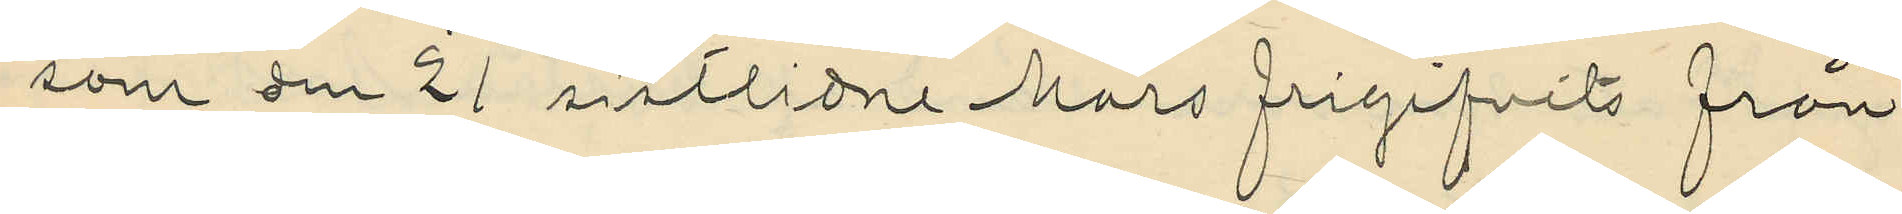som den 21 sistlidne Mars frigifvits från
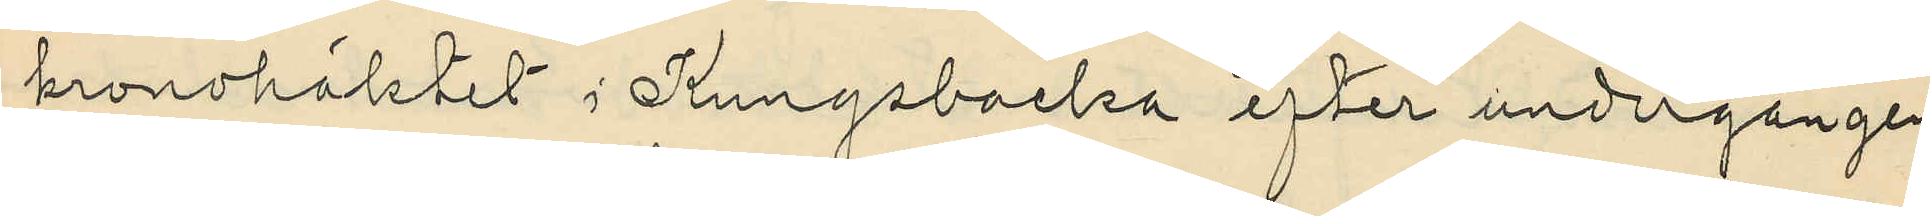kronohäktet i Kungsbacka efter undergången
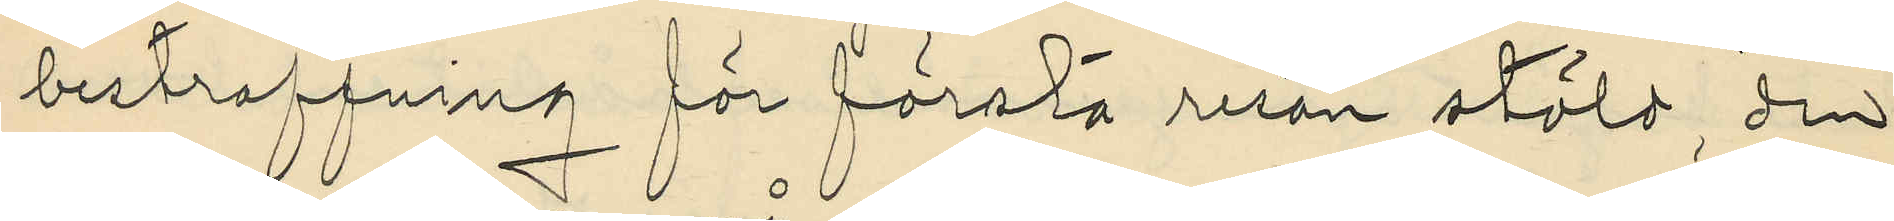bestraffning för första resan stöld, den
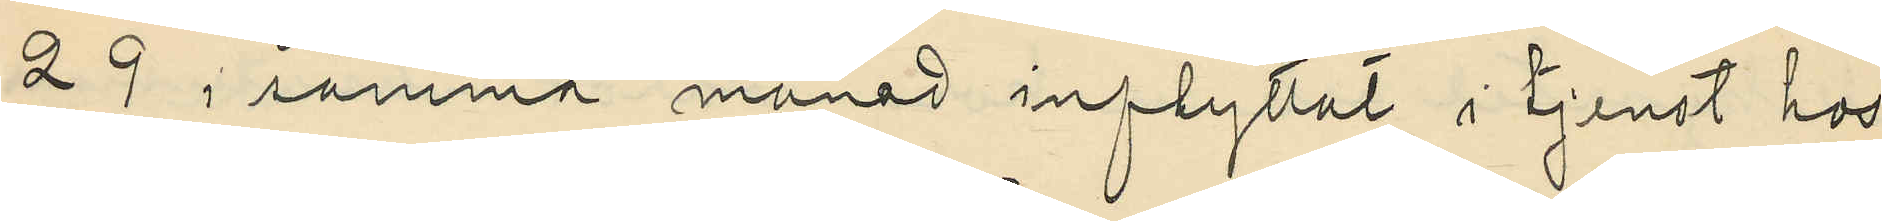29 i samma månad inflyttat i tjenst hos
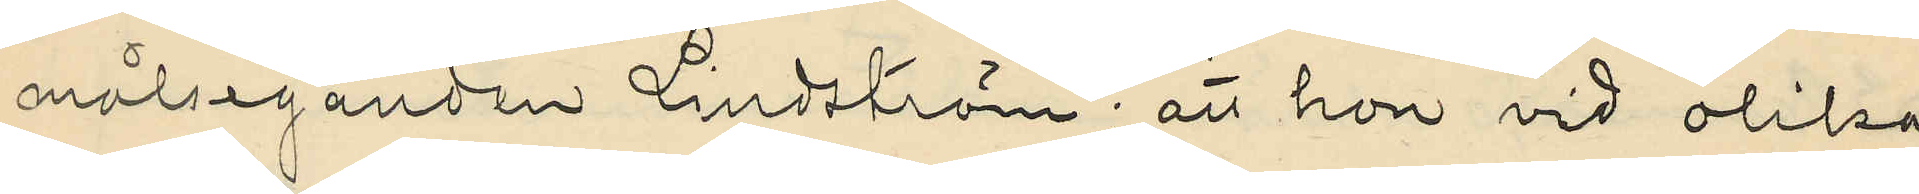målseganden Lindström; att hon vid olika
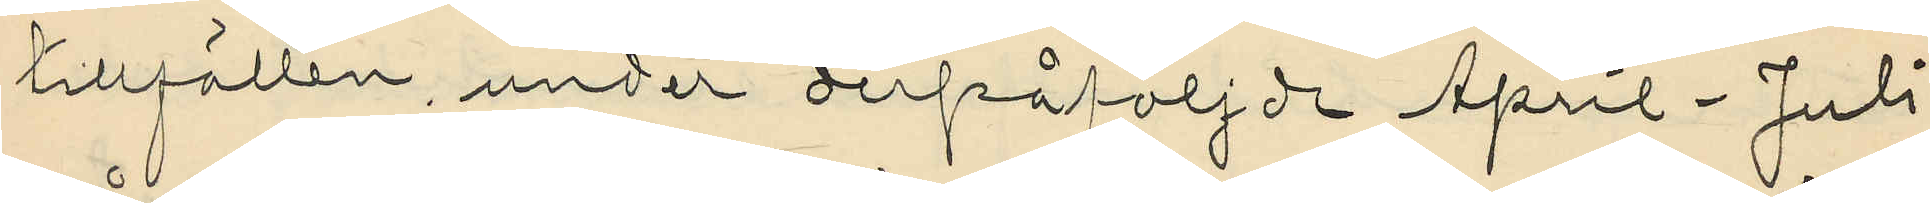tillfällen, under derpåföljde April-Juli
